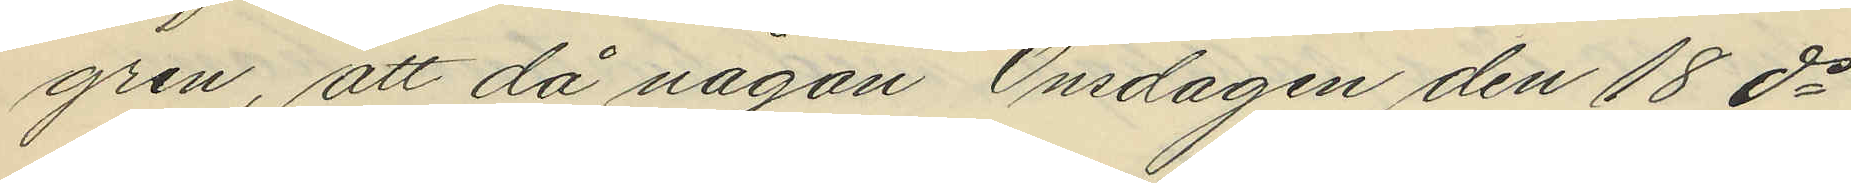gren, att då någon Onsdagen den 18 ds
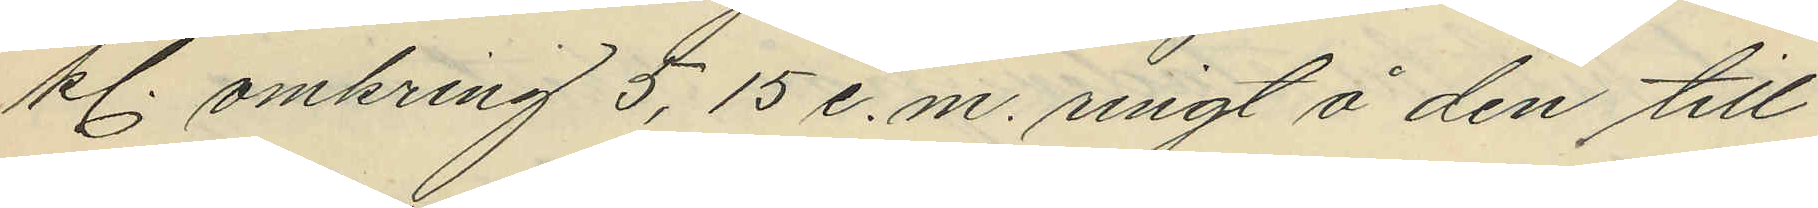kl. omkring 5,15 e.m. ringt å den till
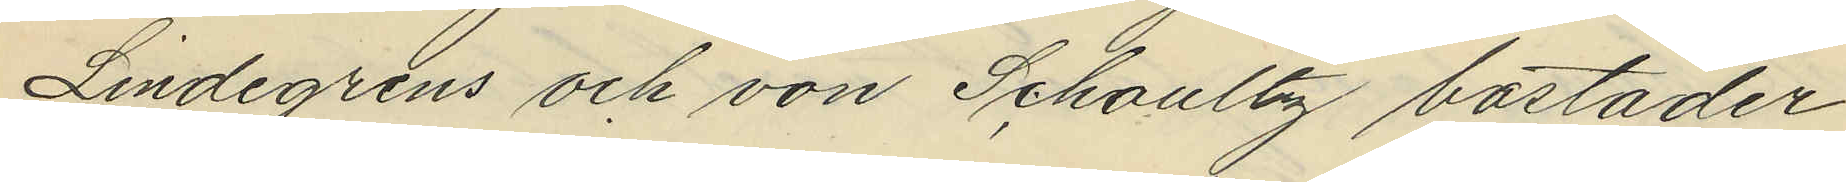Lindegrens och von Schoultz bostäder
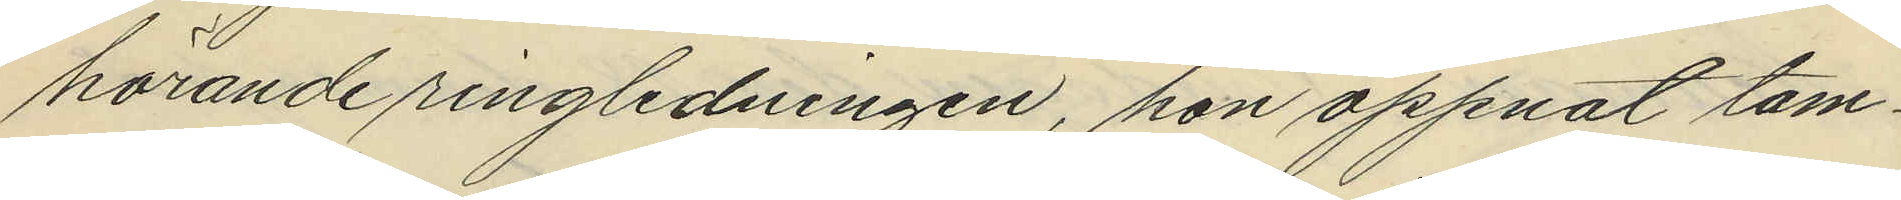hörande ringledningen, hon öppnat tam¬
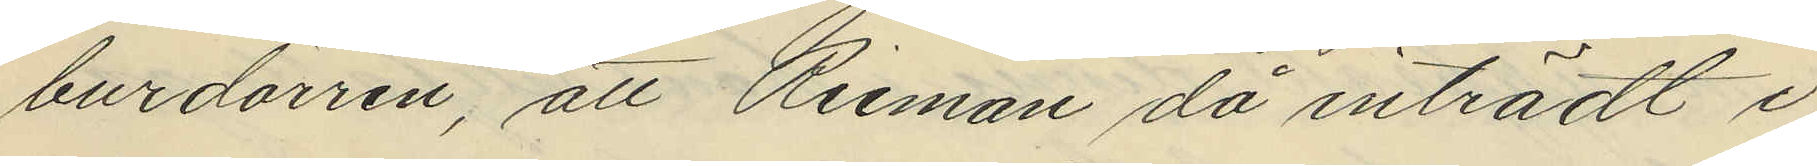burdörren, att Rieman då inträdt i
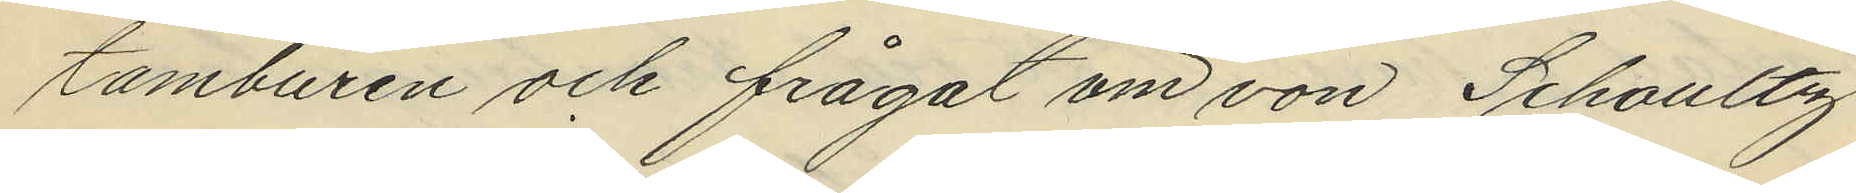tamburen och frågat om von Schoultz
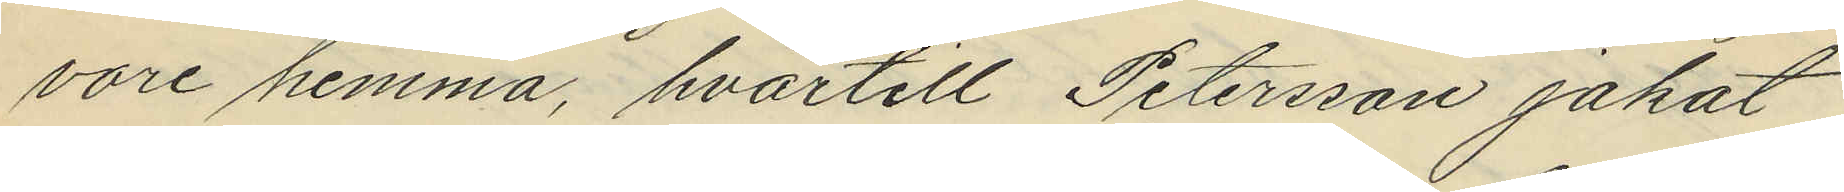vore hemma, hvartill Petersson jakat
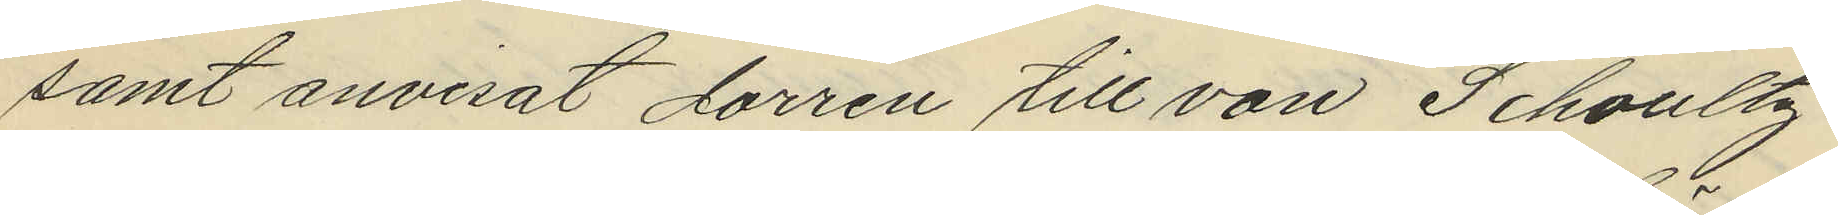samt anvisat dörren till von Schoultz
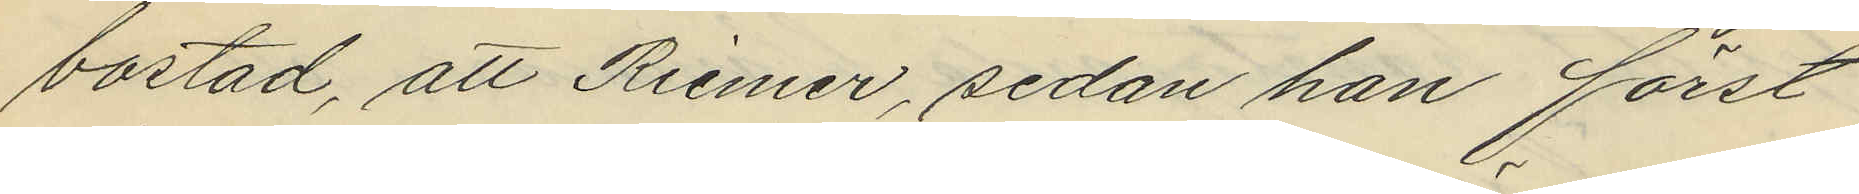bostad, att Riemer, sedan han först
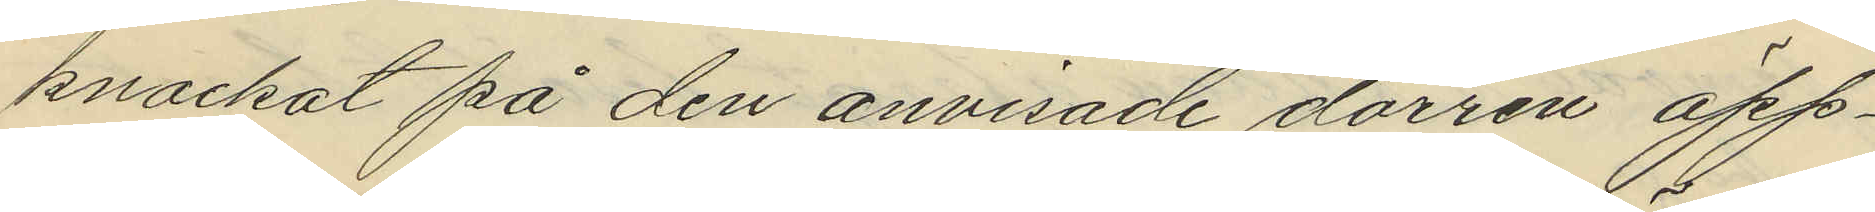knackat på den anvisade dörren öpp¬
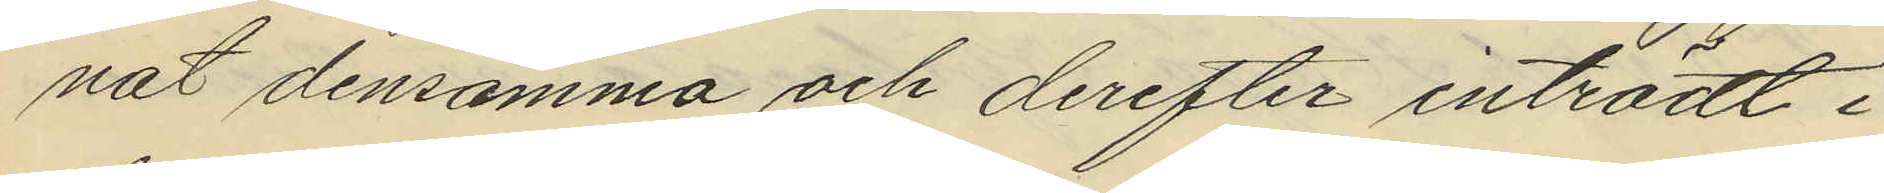nat densamma och derefter inträdt i
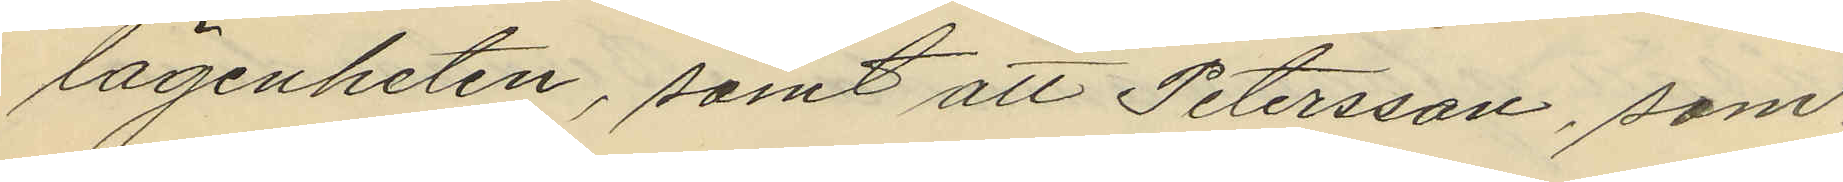lägenheten, samt att Petersson, som
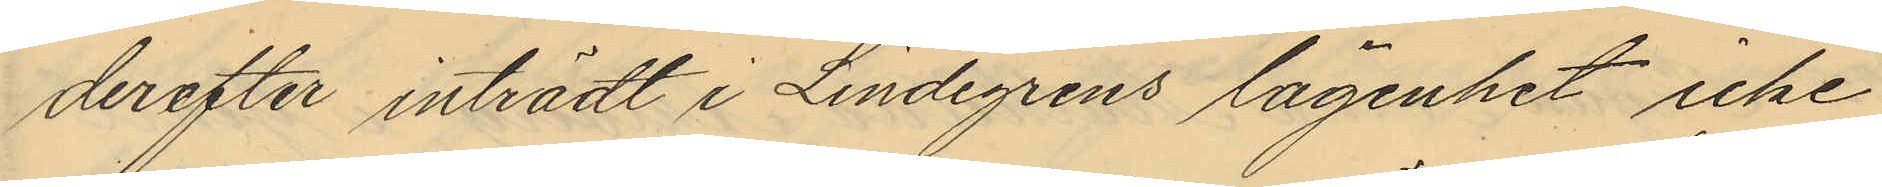derefter inträdt i Lindegrens lägenhet icke
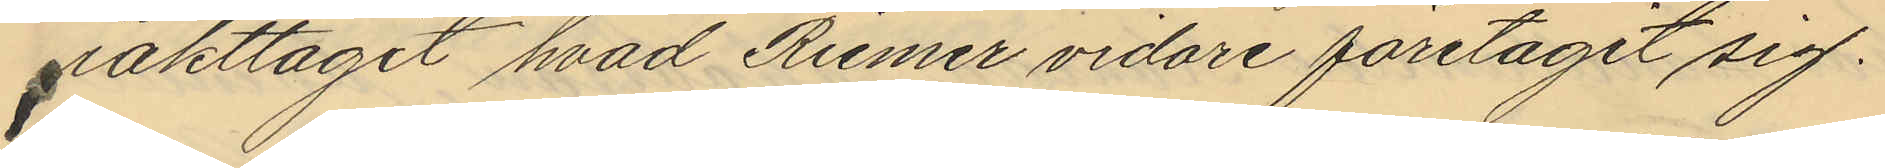iakttagit hvad Riemer vidare företagit sig.
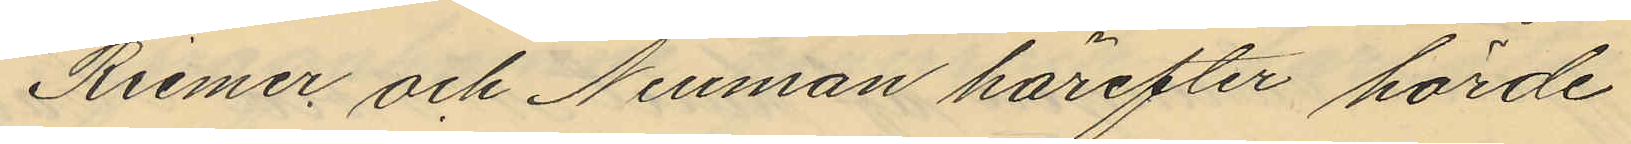Riemer och Neuman härefter hörde
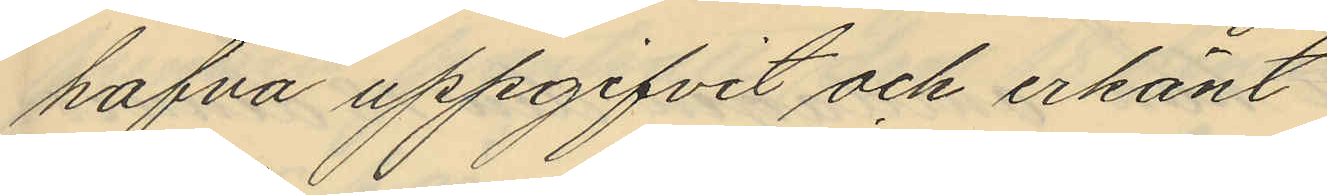hafva uppgifvit och erkänt
